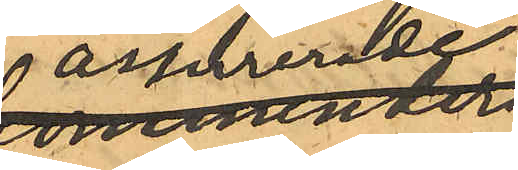assurerade
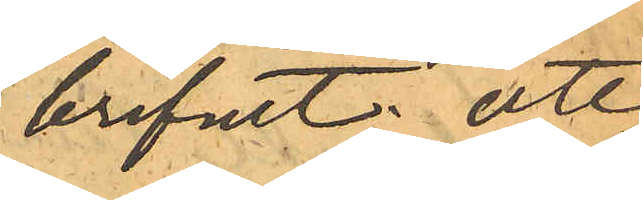brefvet: att
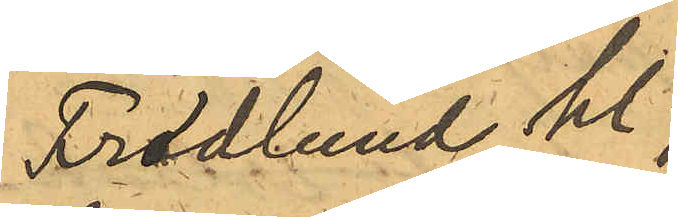Frodlund kl.
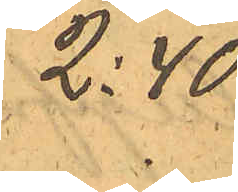2:40
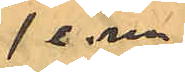e.m.
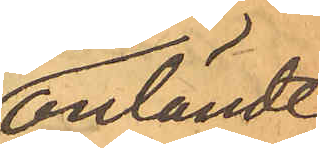anlände
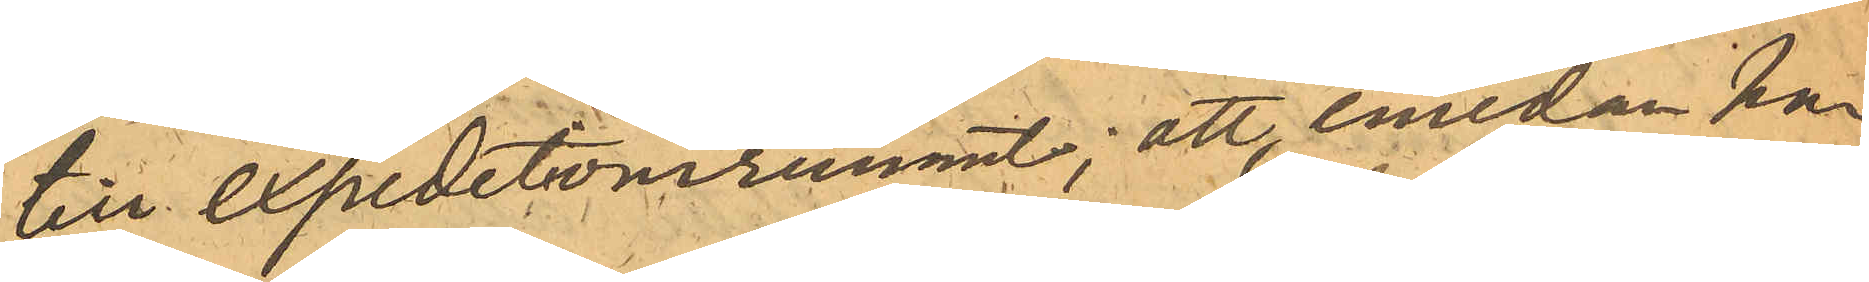till expeditionsrummet; att emedan han
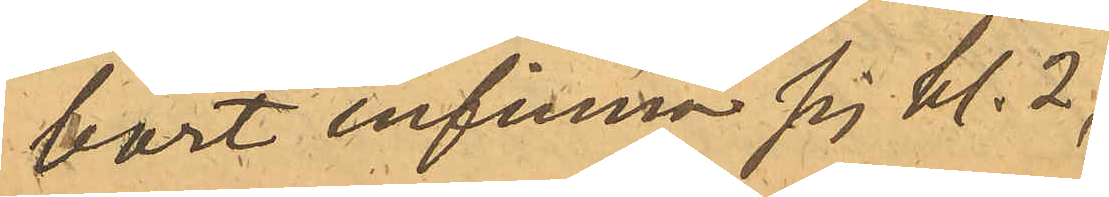bort infinna sig kl. 2,
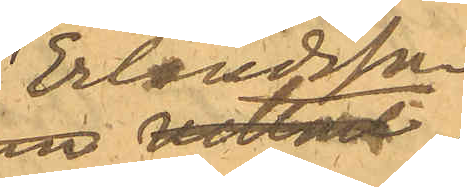Erlandsson
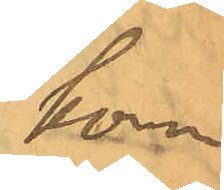kom¬
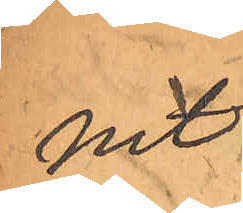mit
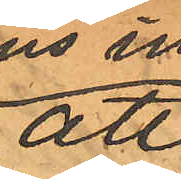att
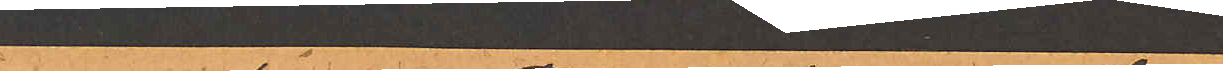vid hans inträde på rummet
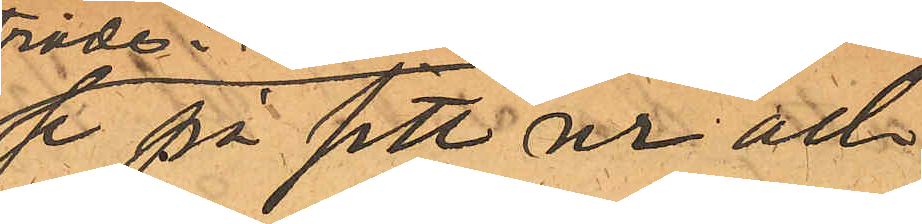se på sitt ur och
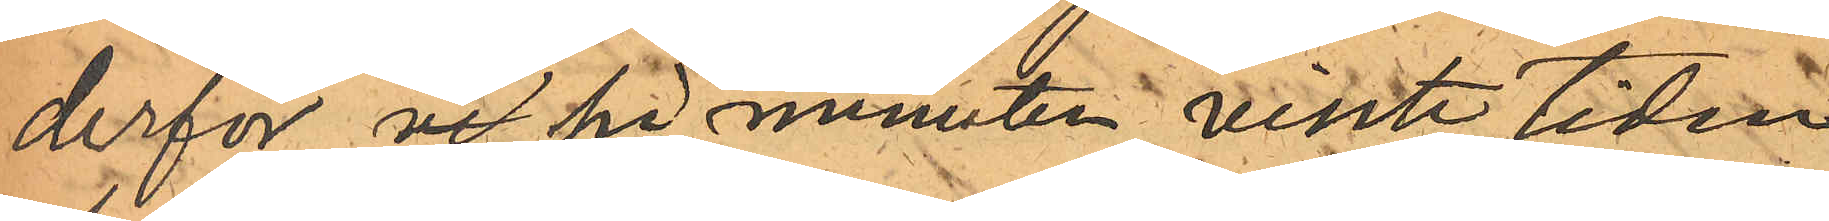derför ve på minuten visste tiden
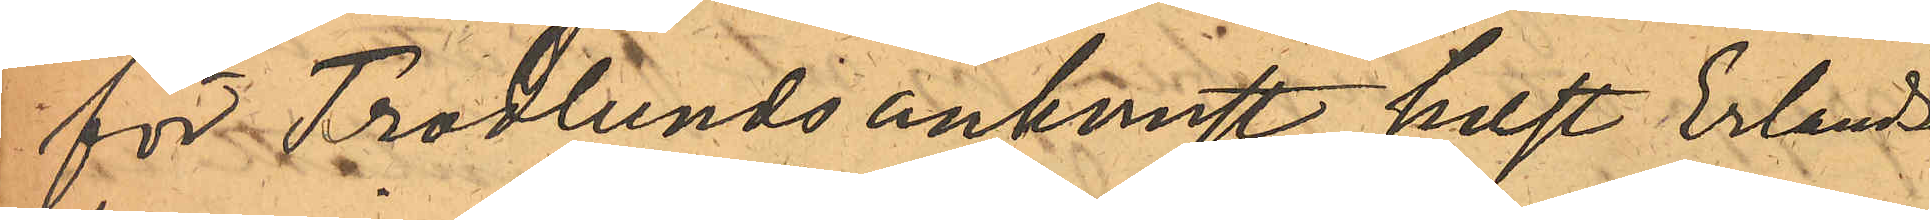för Frodlunds ankomst, helst Erlands¬
